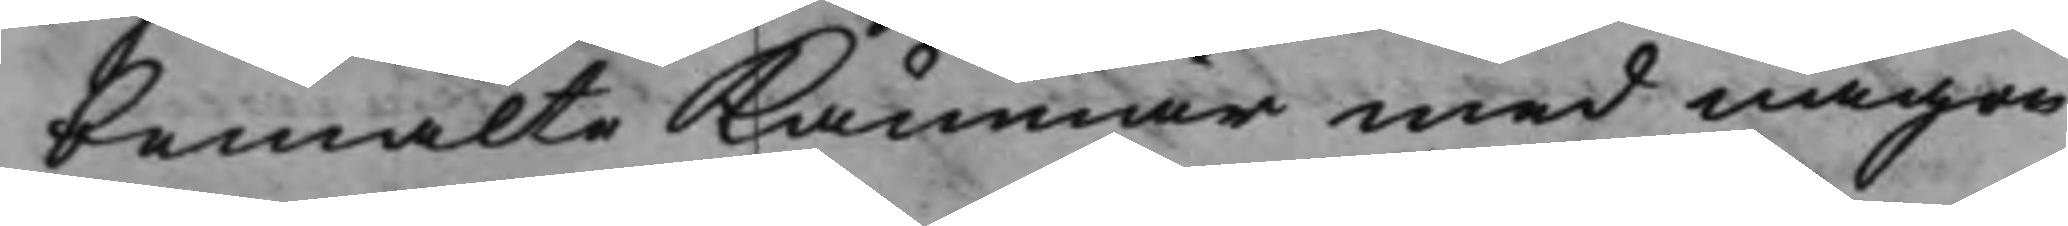bemälte Kämnär med någon
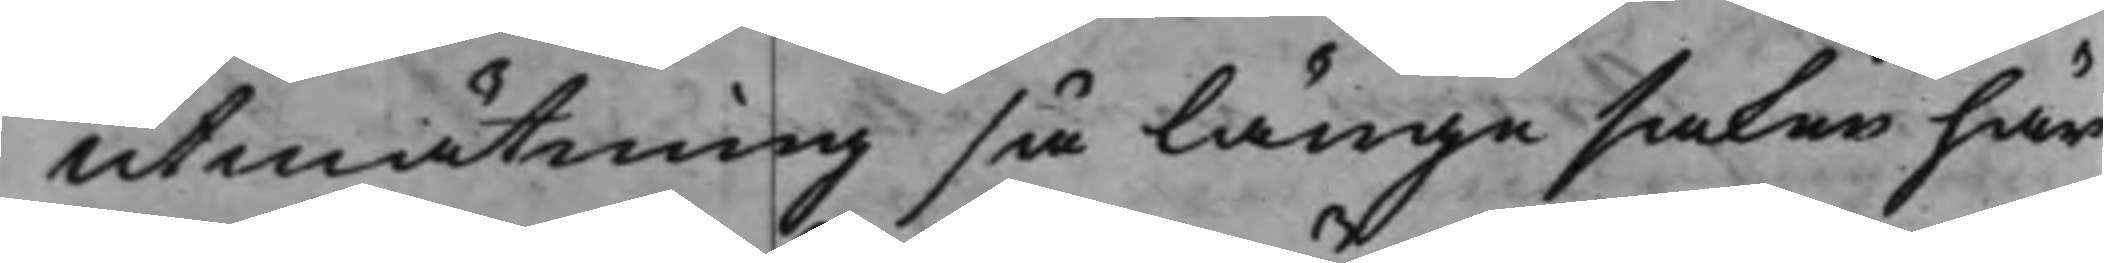utmätning så länge saken här
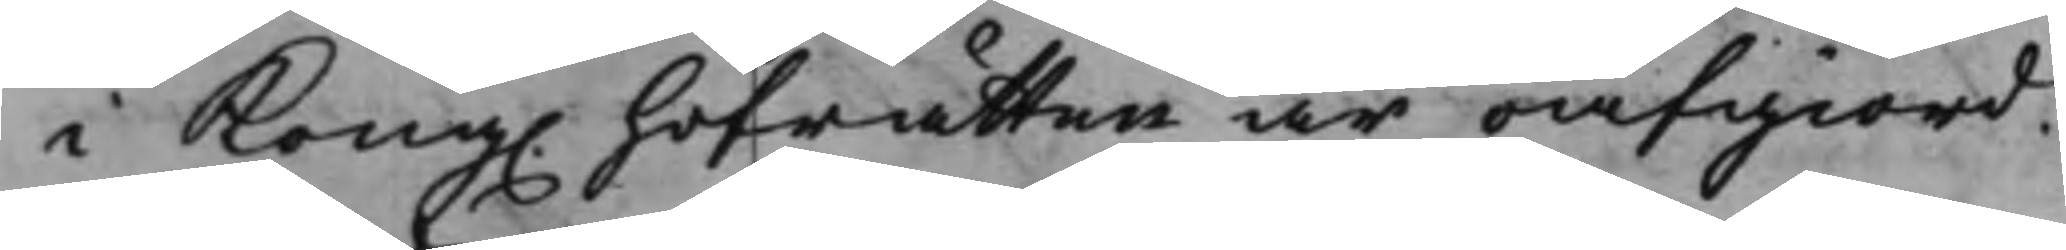i Kong. hofrätten är oafgiord.
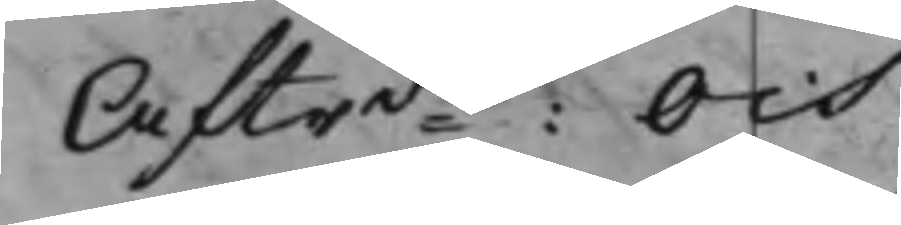Aftrde: Och
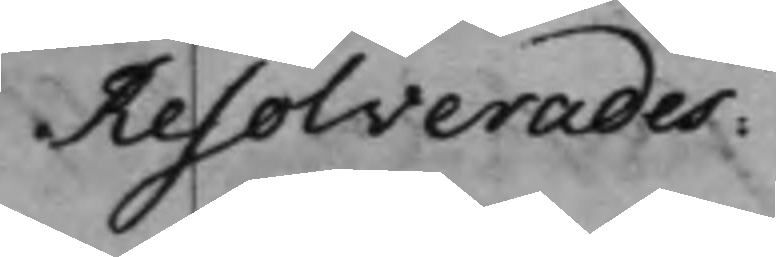Resolverades:
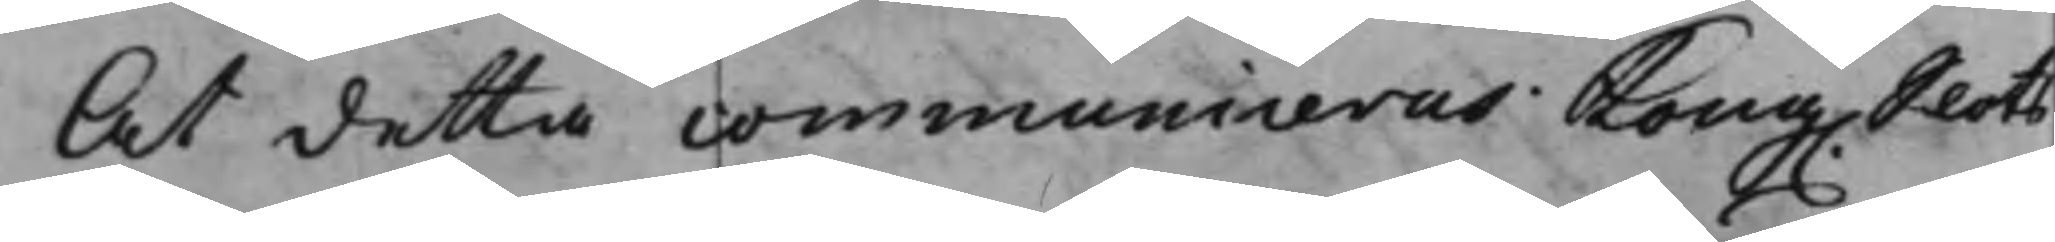At detta communiceras Kong. Slots
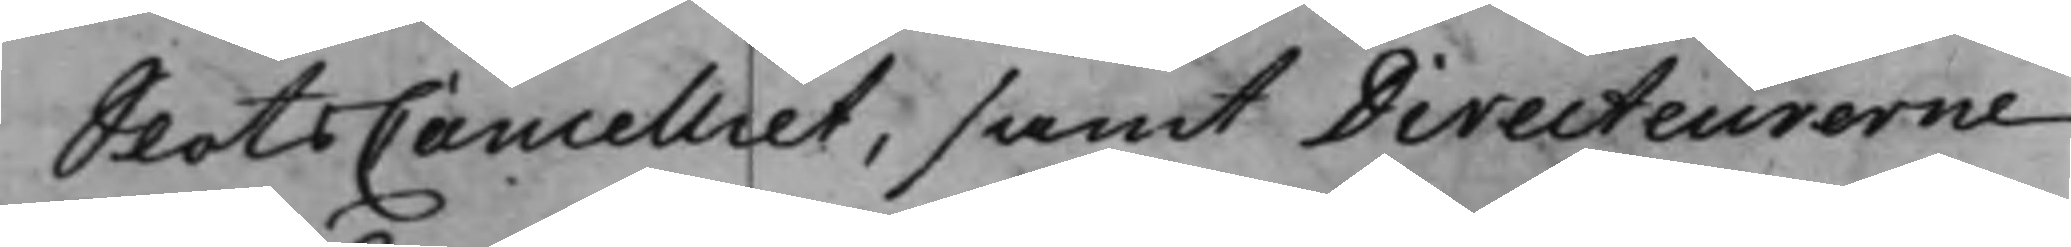SlotsCancelliet, samt Directeurerne
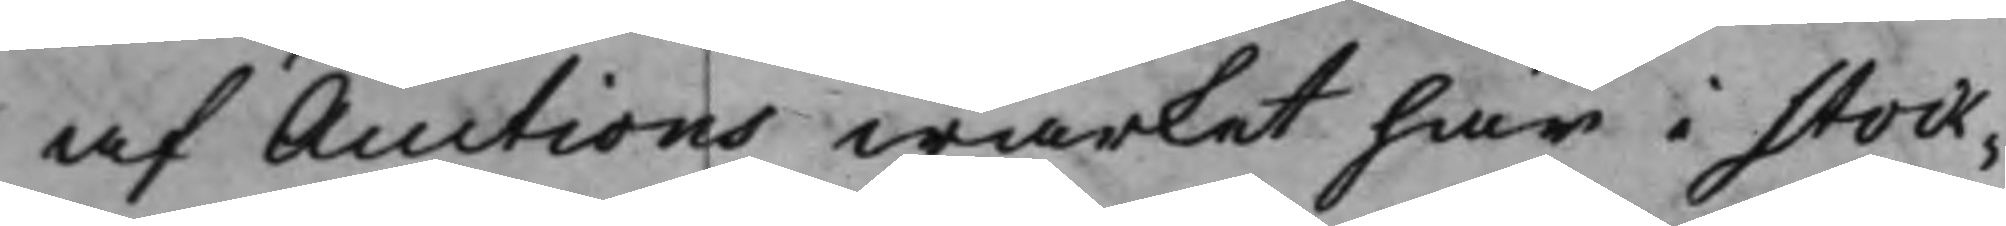af Auctions wärket här i Stock¬
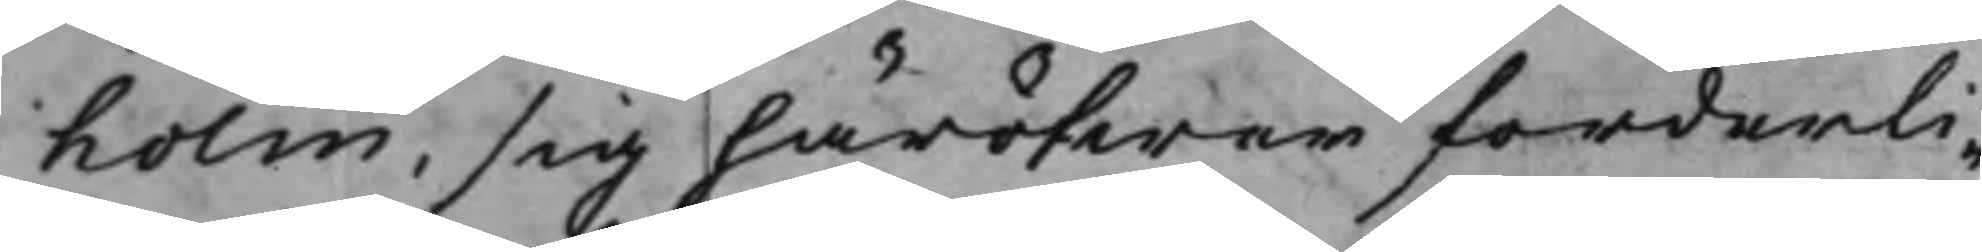holm, sig häröfwer forderli¬
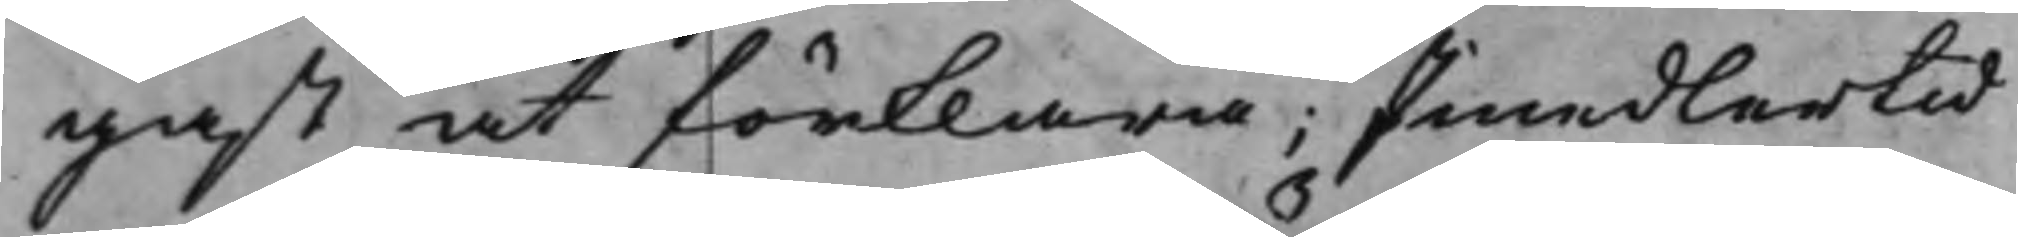gast at förklara; Imedlertid
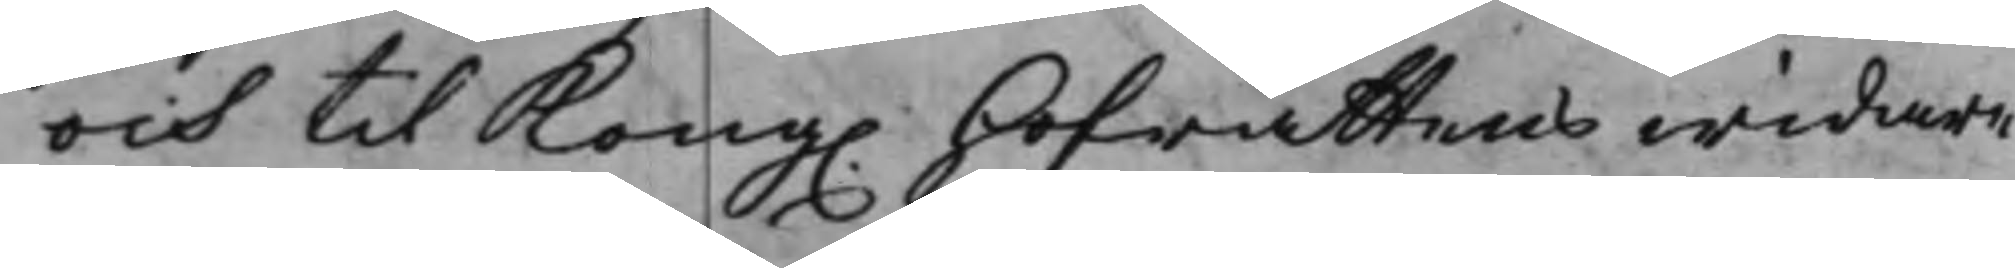och til Kong. Hofrättens widare
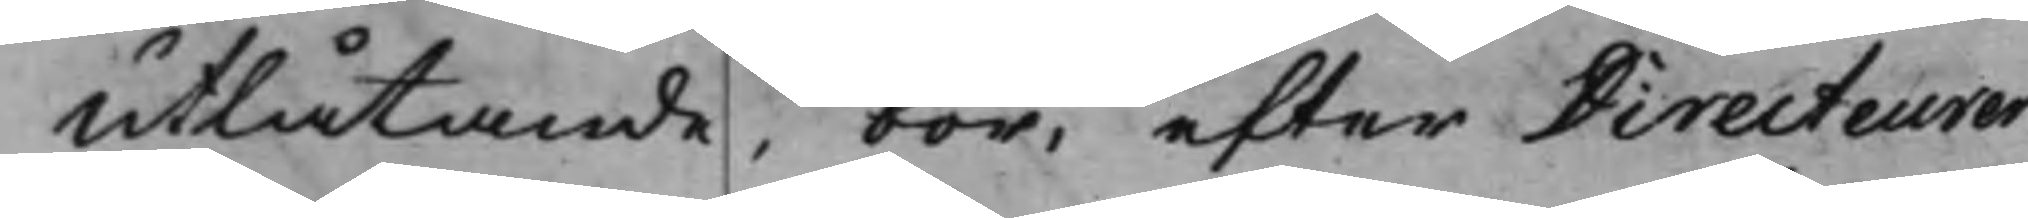utlåtande, bör, efter Directeurer¬
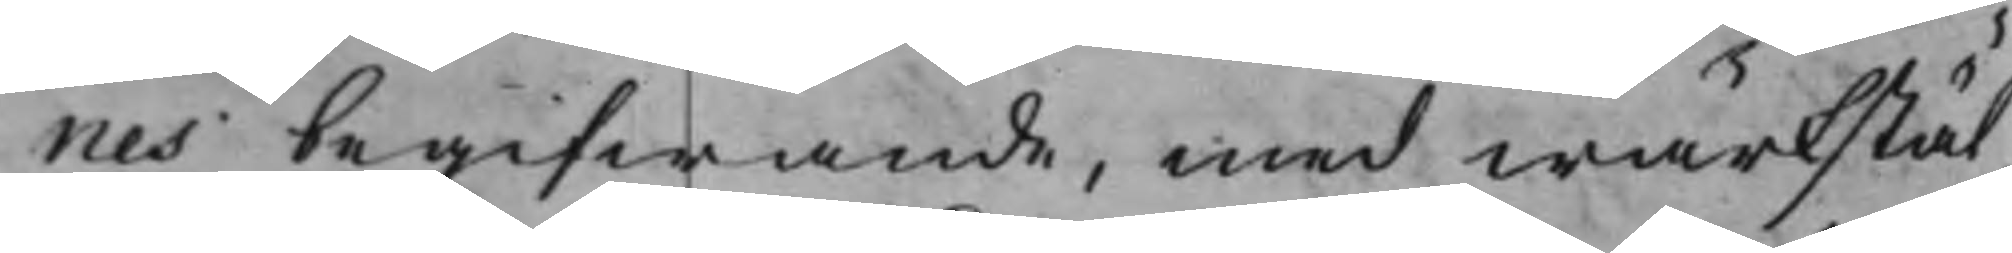nes begifwande, med wärkstäl¬
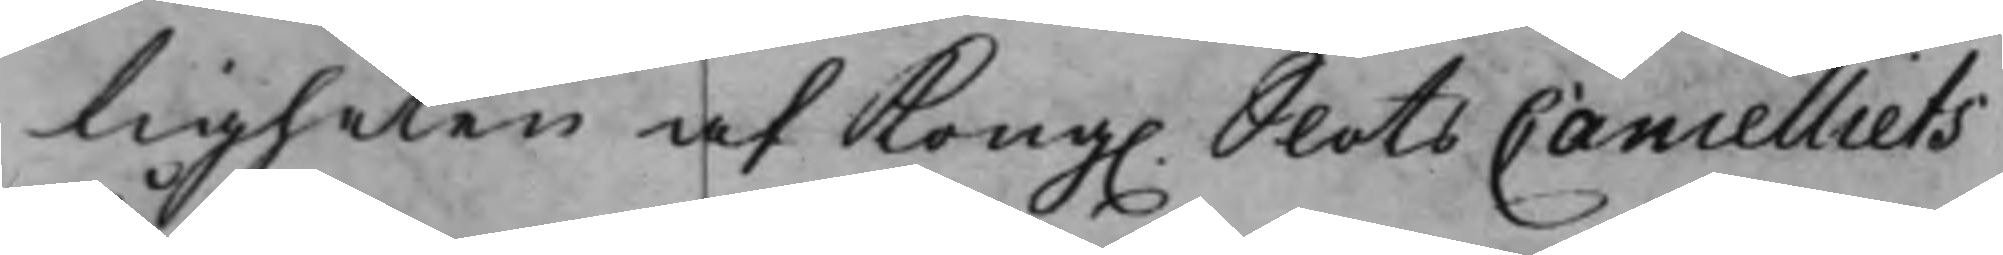ligheten af Kong. SlotsCancelliets
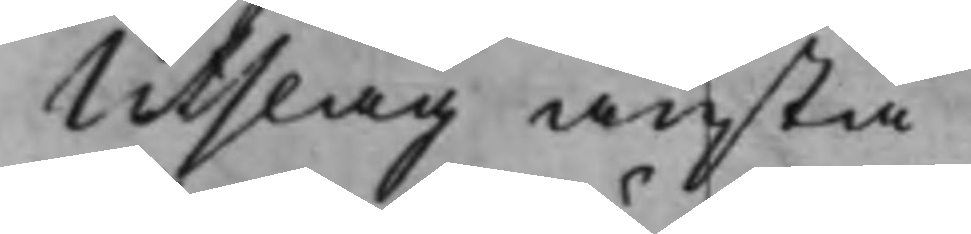Utslag anstå.
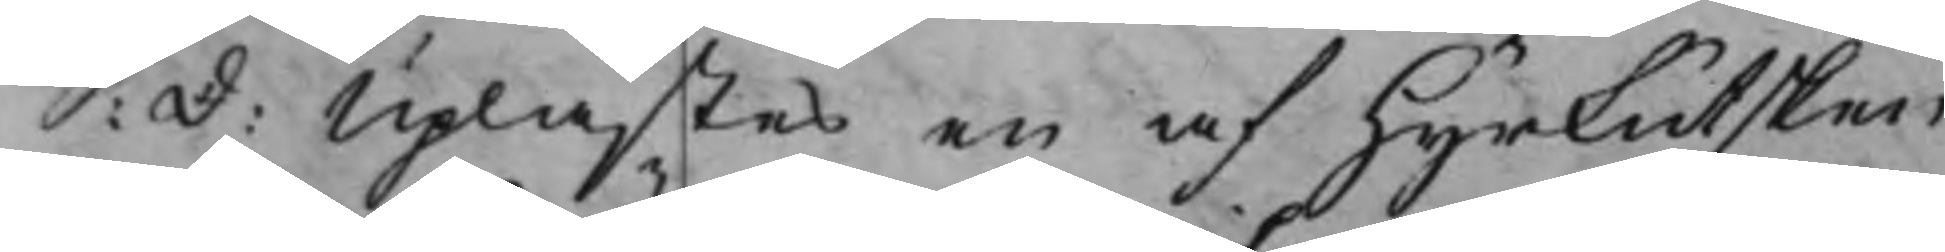S: d: Uplästes en af Hyrkutsken
